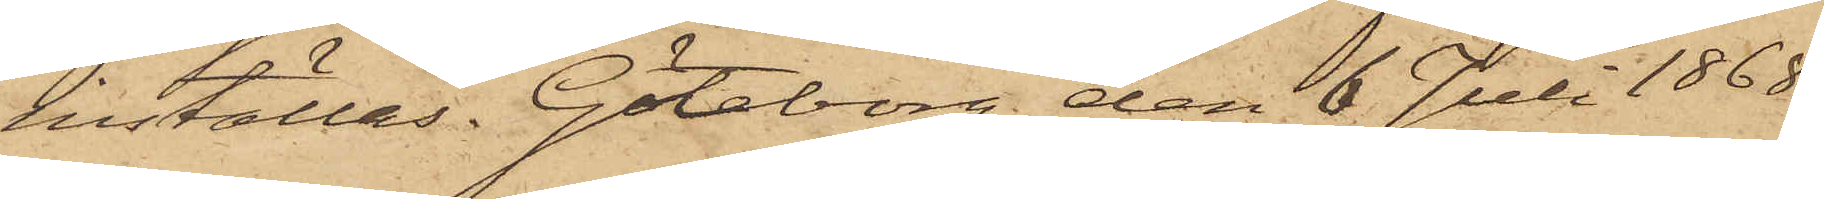inställas. Göteborg den 6 Juli 1868.
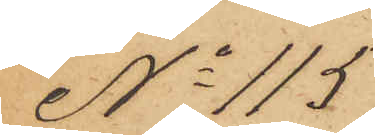No 115
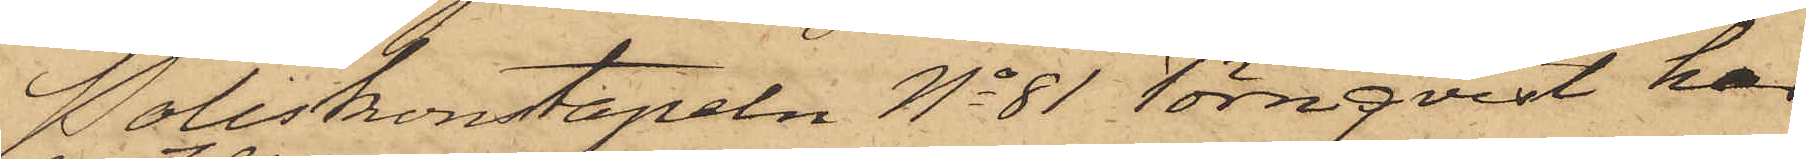Poliskonstapeln No 81 Törnqvist har
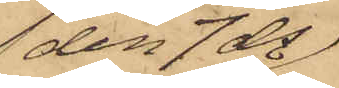den 7 ds
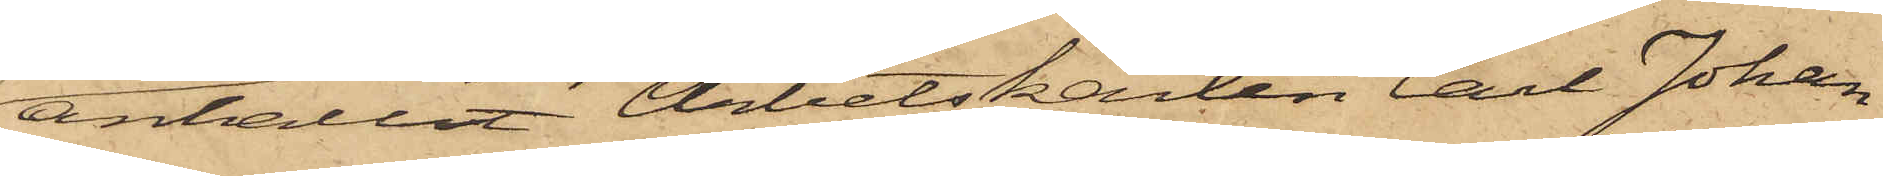anhållit Arbetskarlen Carl Johan
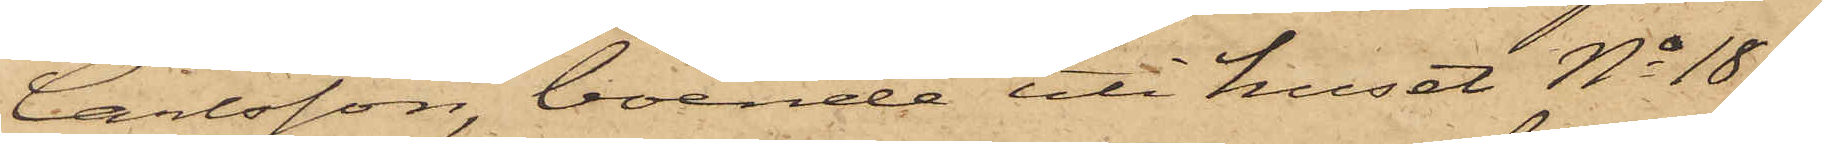Carlsson, boende uti huset No 18 
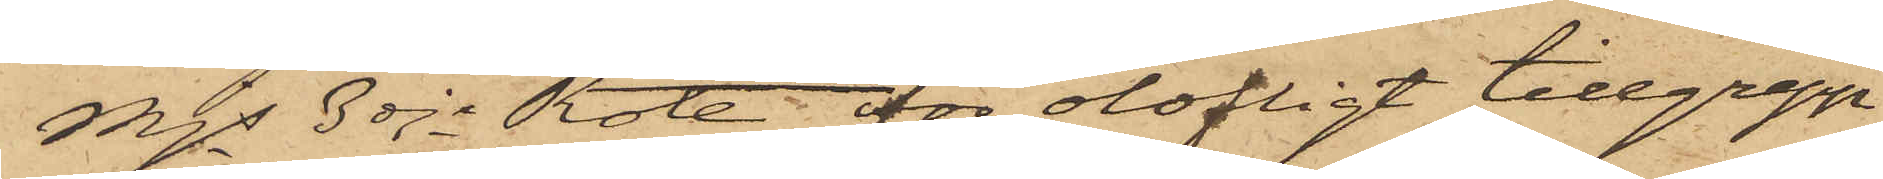Mjs 3dje Rote för olofligt tillgrepp
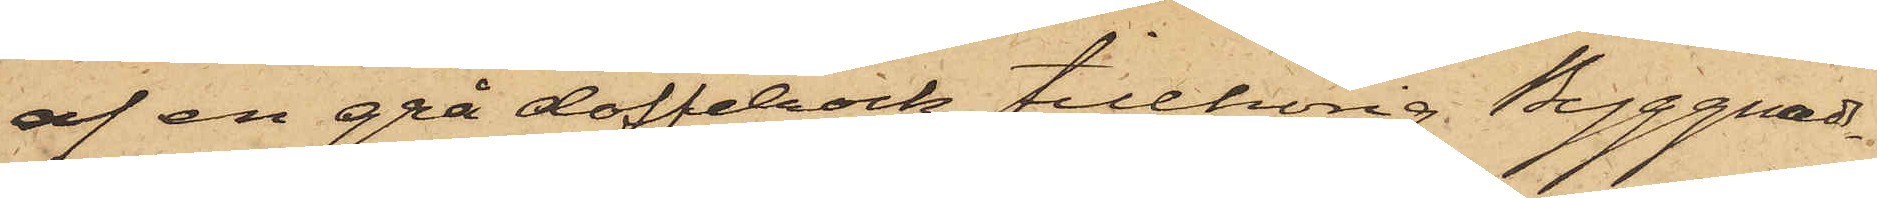af en grå doffelrock tillhörig Byggnads¬
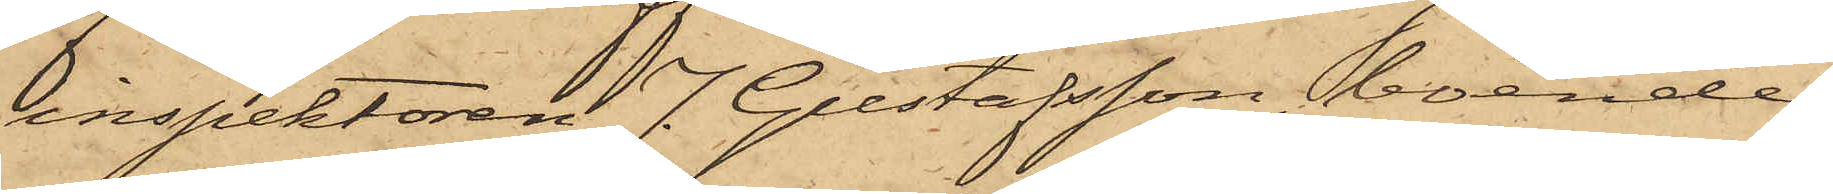inspektoren J. Gustafsson, boende
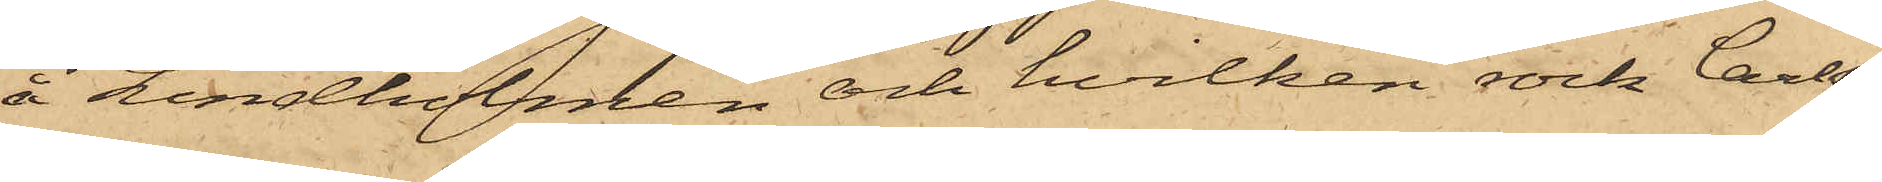å Lindholmen och hvilken rock Carls¬
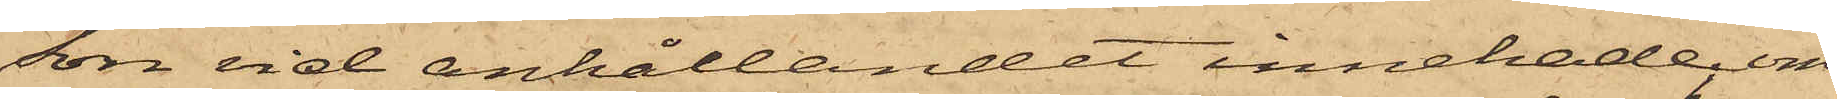son vid anhållandet innehade; om
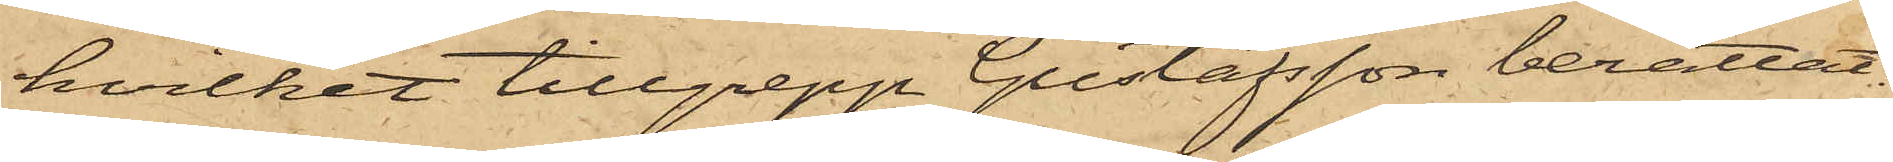hvilket tillgrepp Gustafsson berättat:
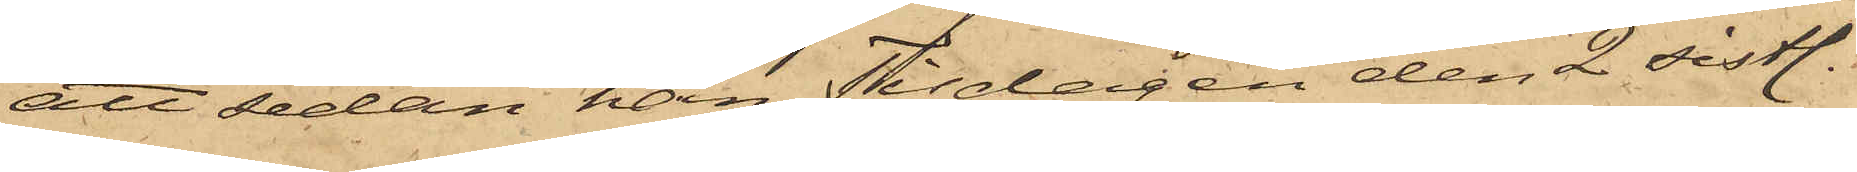att sedan han Tisdagen den 2 sistl.
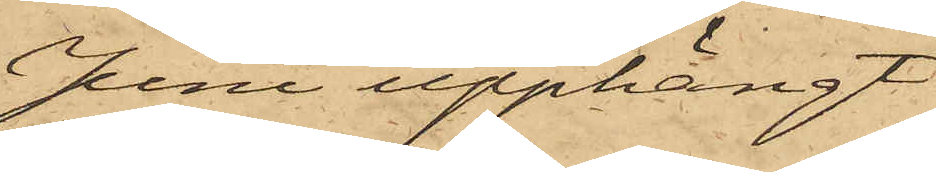Juni upphängt
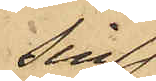sin
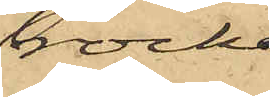rock,
